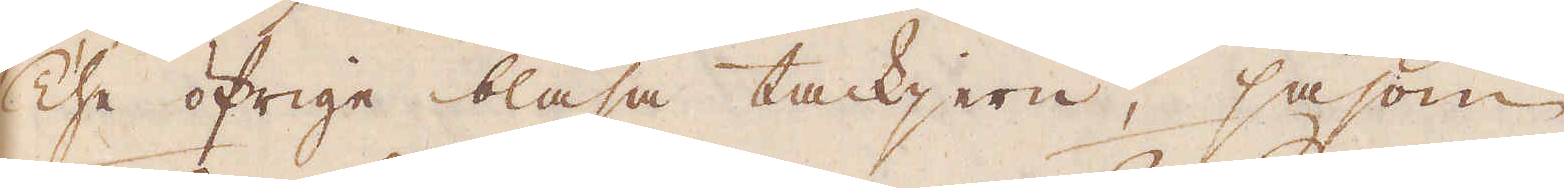The öfrige blåsa tackjern, såsom
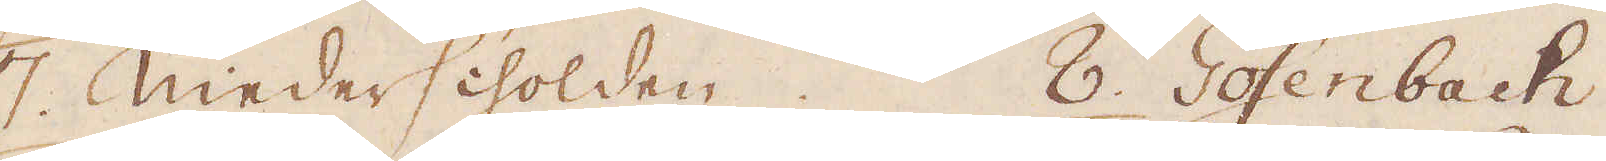7. Niederscholden. 8. Gosenbach
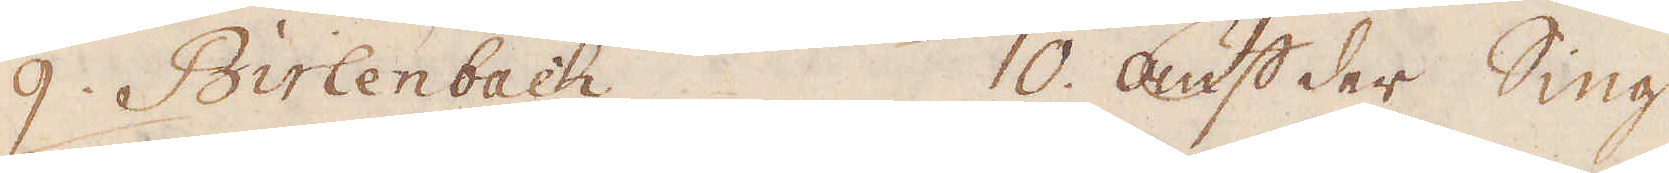9. Birlenbach 10. Auf der Sing
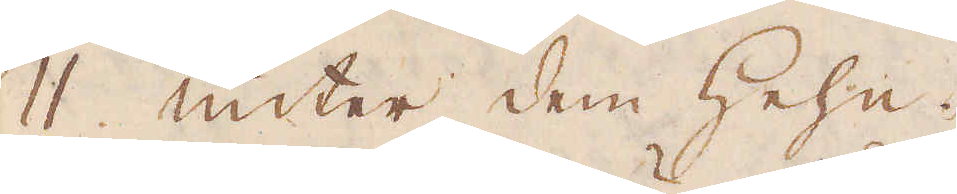11. unter dem Hehn.
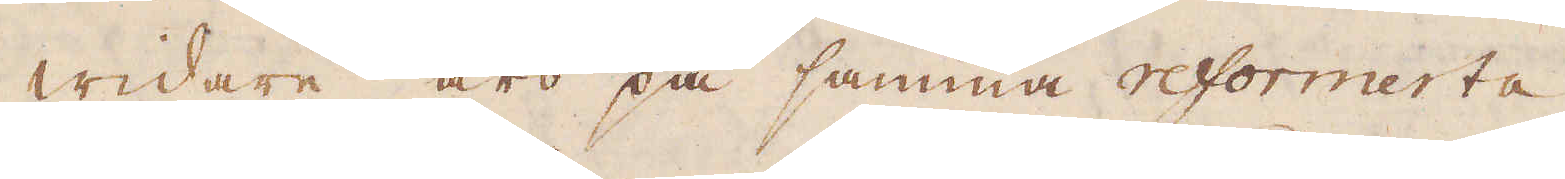Widare äro på samma reformerta
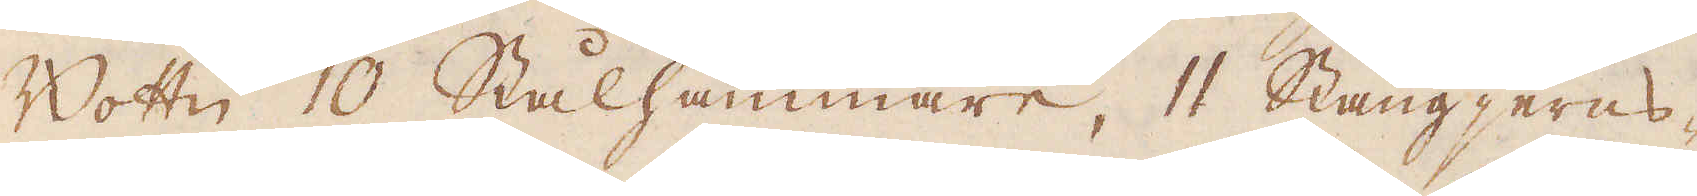Bottn 10 Stålhammare, 11 Stångjerns-
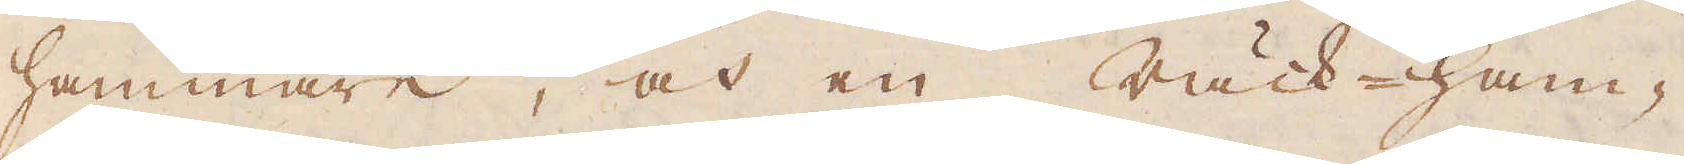hammare, och en Räck-ham-
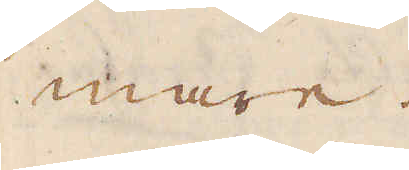mare.
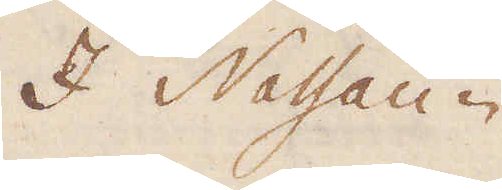I Nassau-
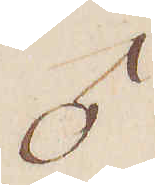♂
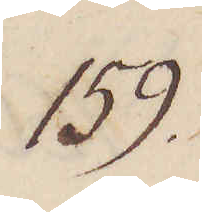159.
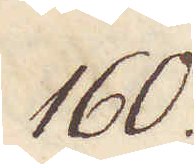160.
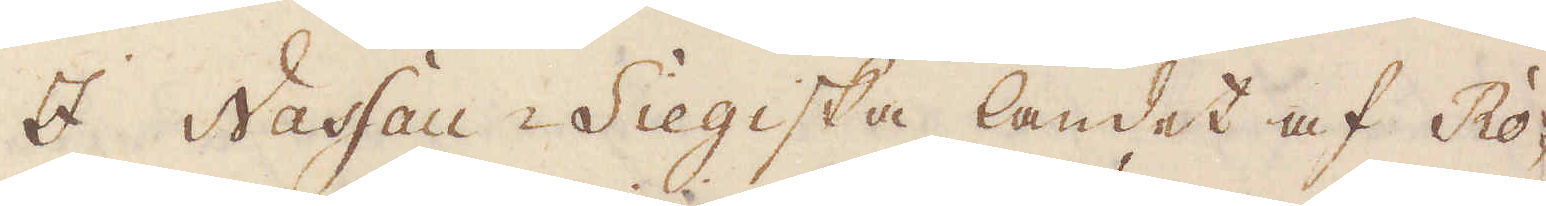I Nassau-Siegiska landet af Ro-
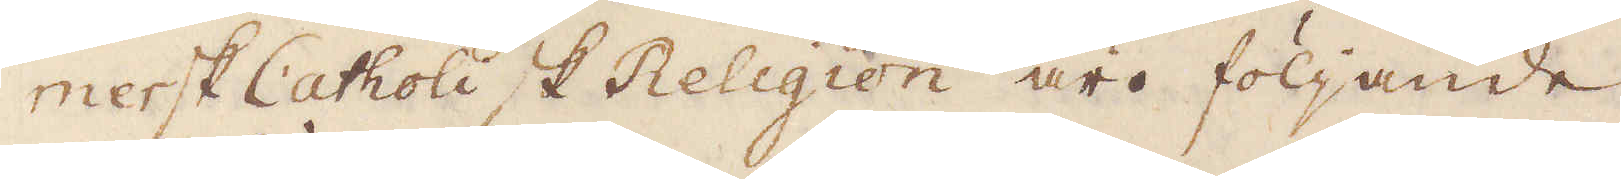mersk Catholisk Religion äro följande
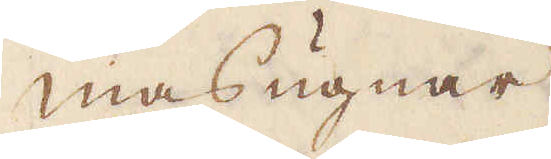masugnar
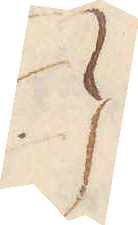}
